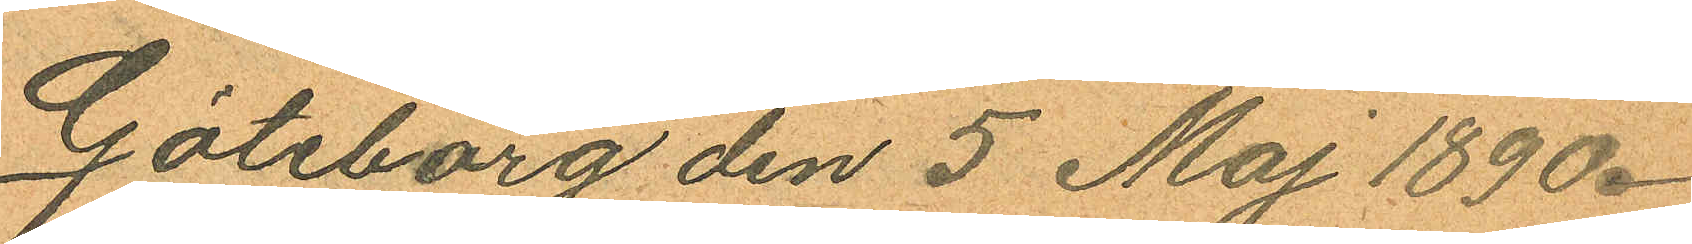Göteborg den 5 Maj 1890.
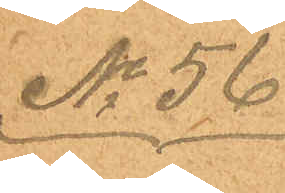No 56
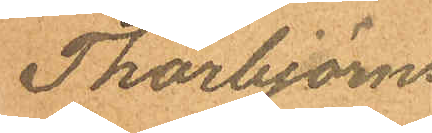Thorbjörns
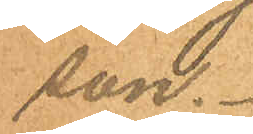son.
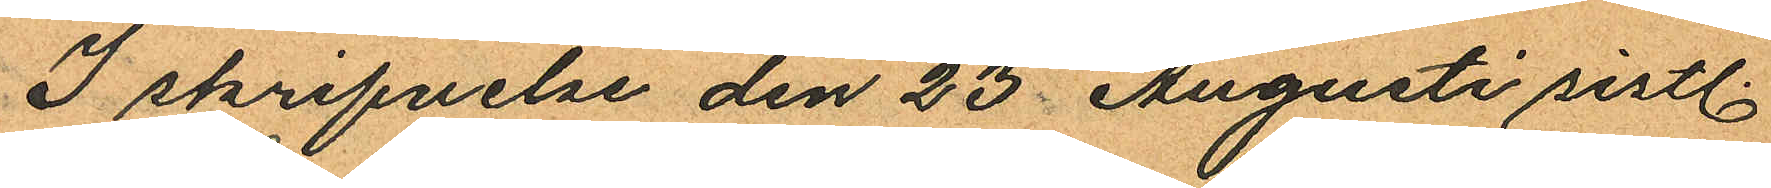I skrifvelse den 23 Augusti sistl.
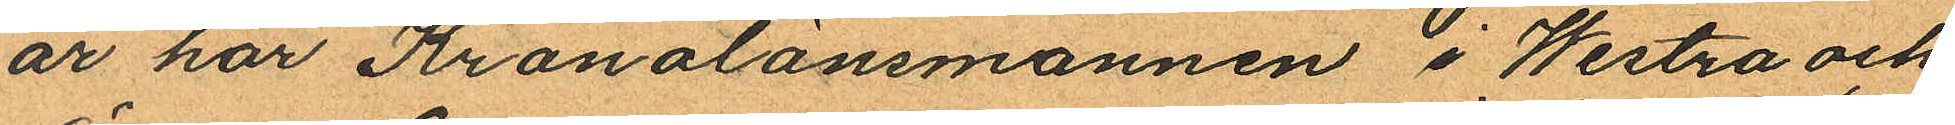år har Kronolänsmannen i Westra och
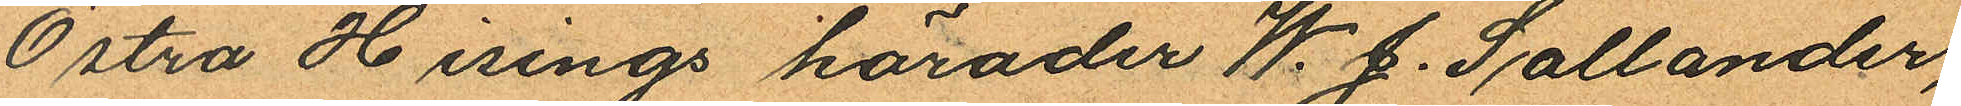Östra Hisings härader W. J. Sallander,
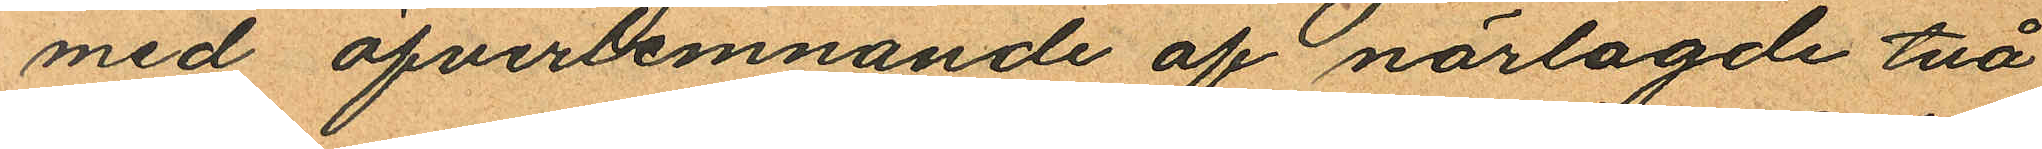med öfverlemnande af närlagde två
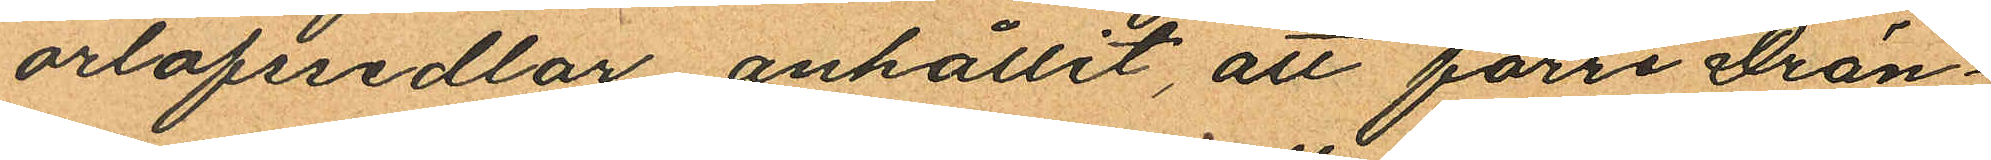orlofssedlar anhållit att förre Drän¬
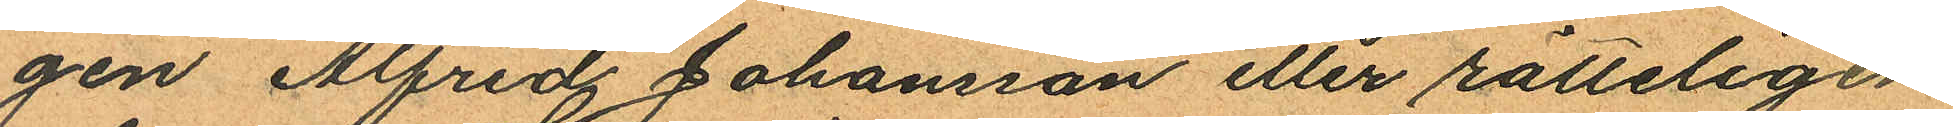gen Alfred Johansson eller rätteligen
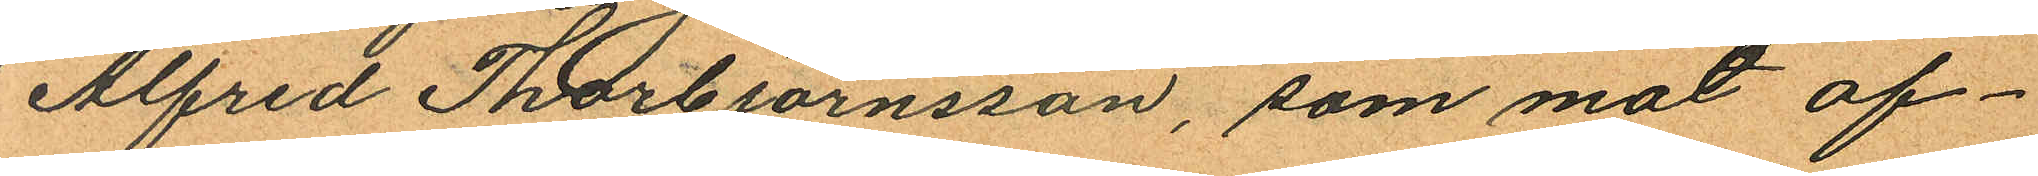Alfred Thorbjörnsson, som mot af¬
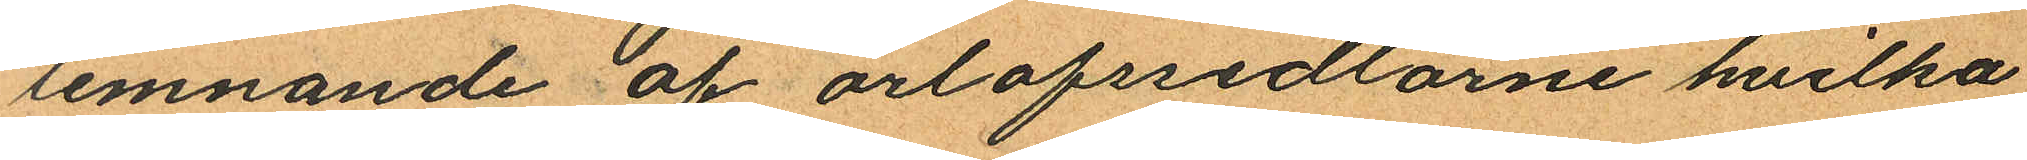lemnande af orlofssedlarne hvilka
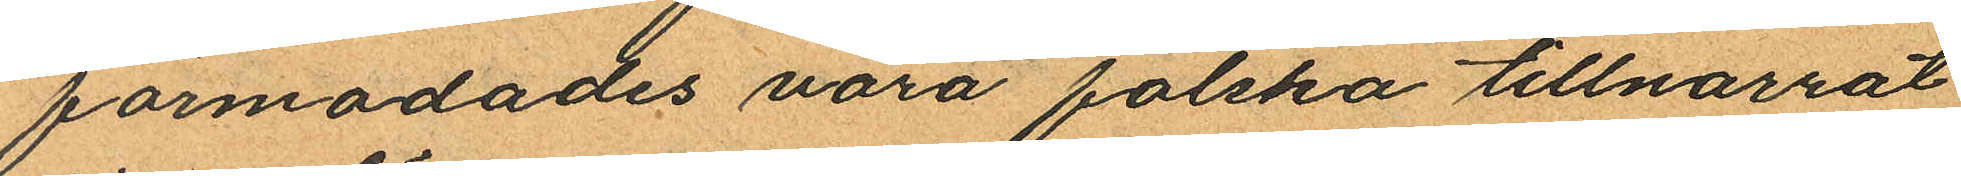förmodades vara falska tillnarrat
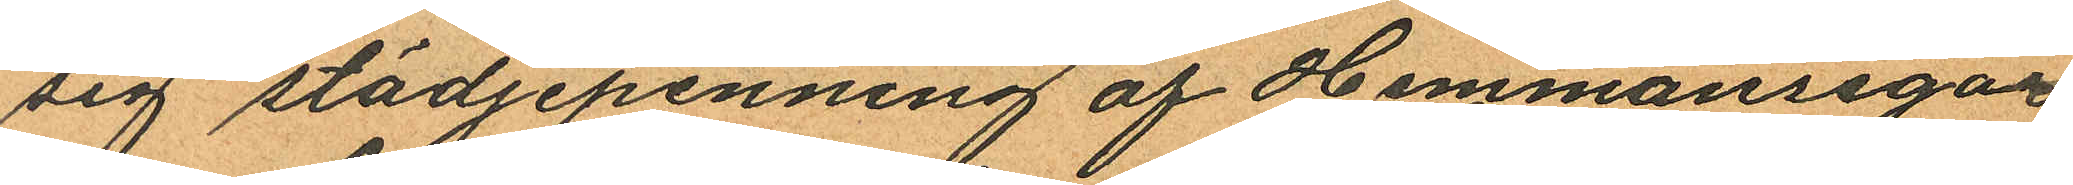sig stödjepenning af Hemmansegar
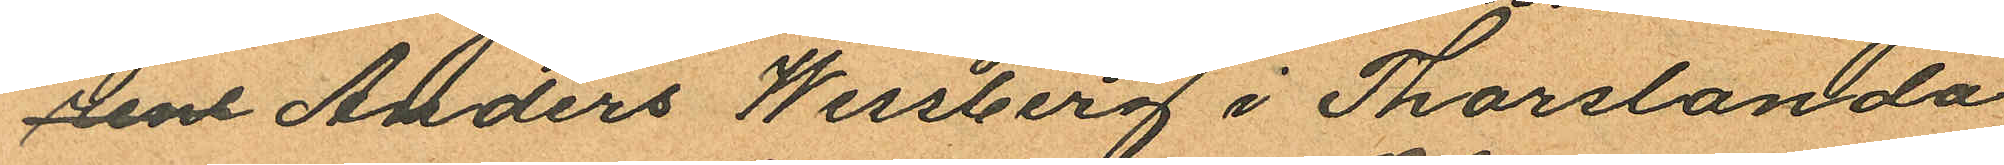ne Anders Wessberg i Thorslanda
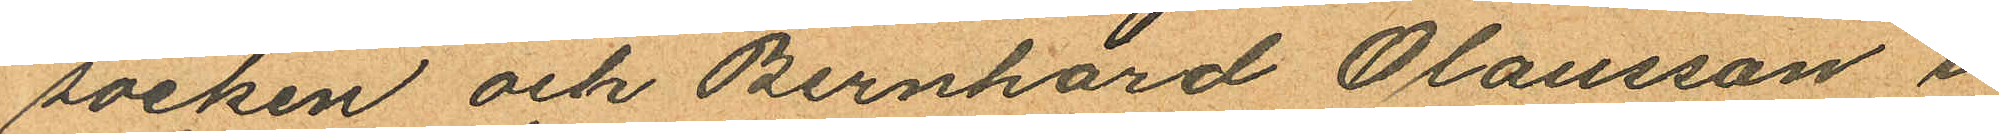socken och Bernhard Olausson i
